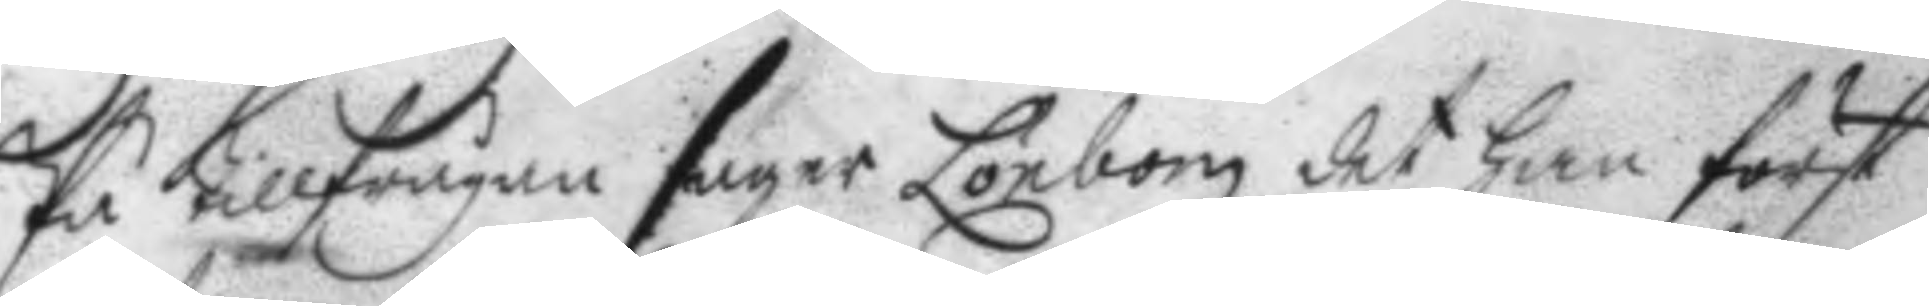På tillfrågan säger Lönbom det han först
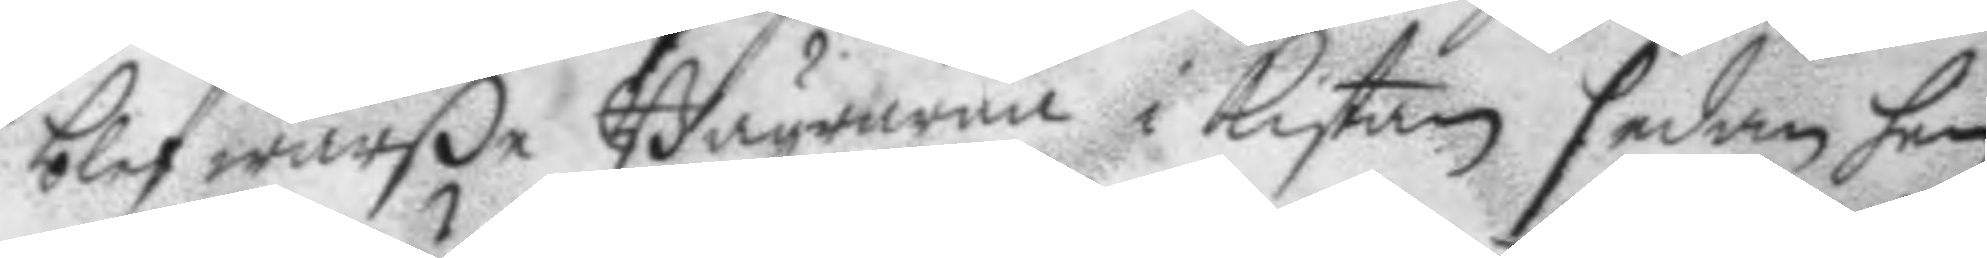blef warße Bägrarna i kistan sedan han
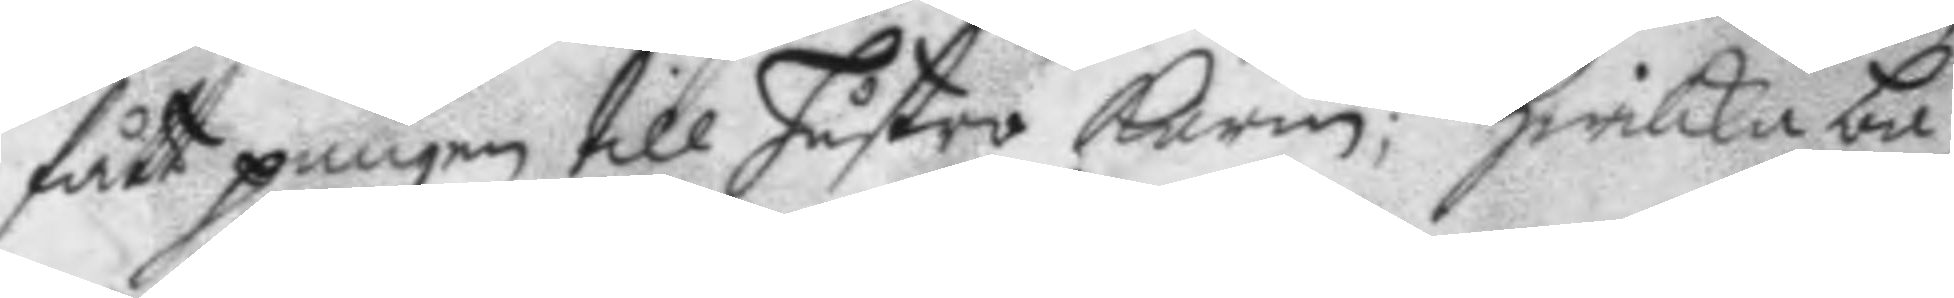fått pungen till hustri karin; hwilka bä¬
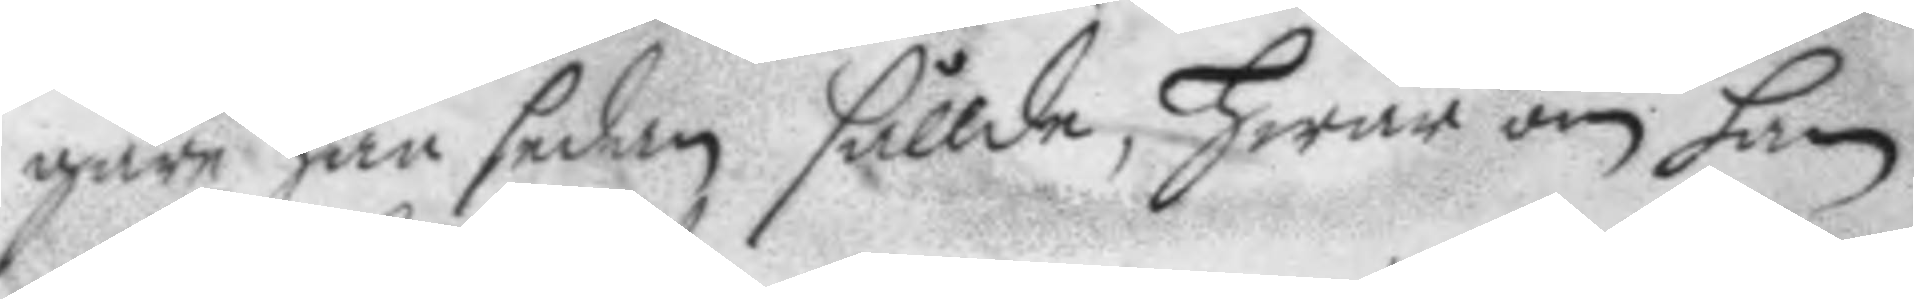gare han sedan sållde, hwar om han
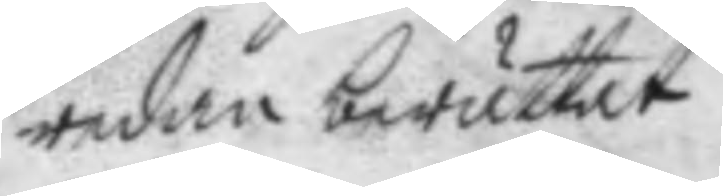redan berättat.
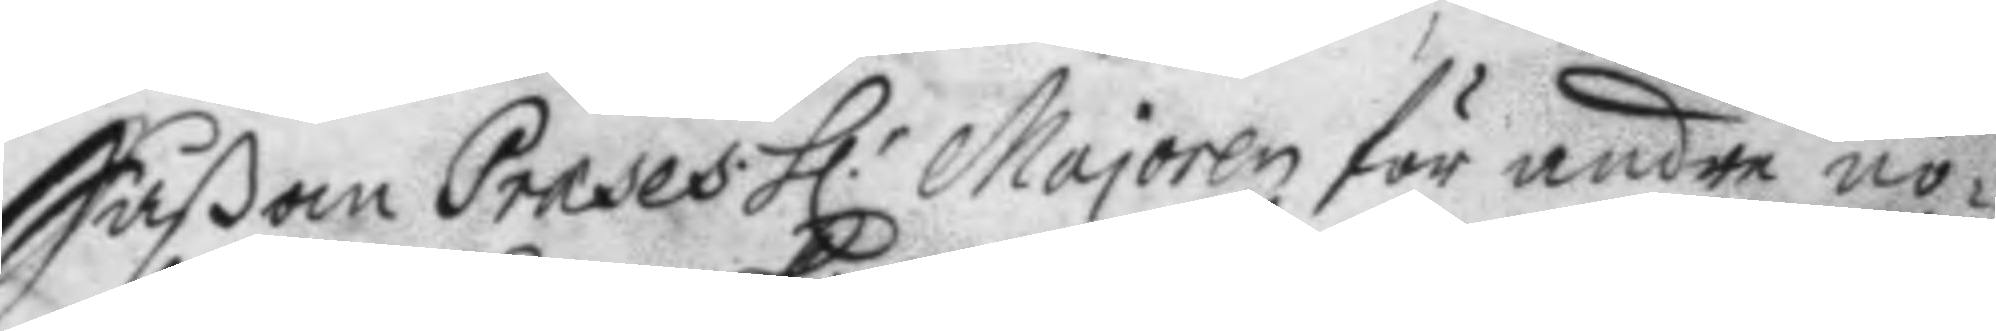Såßon Preses. h.r Majoren för andre nö¬
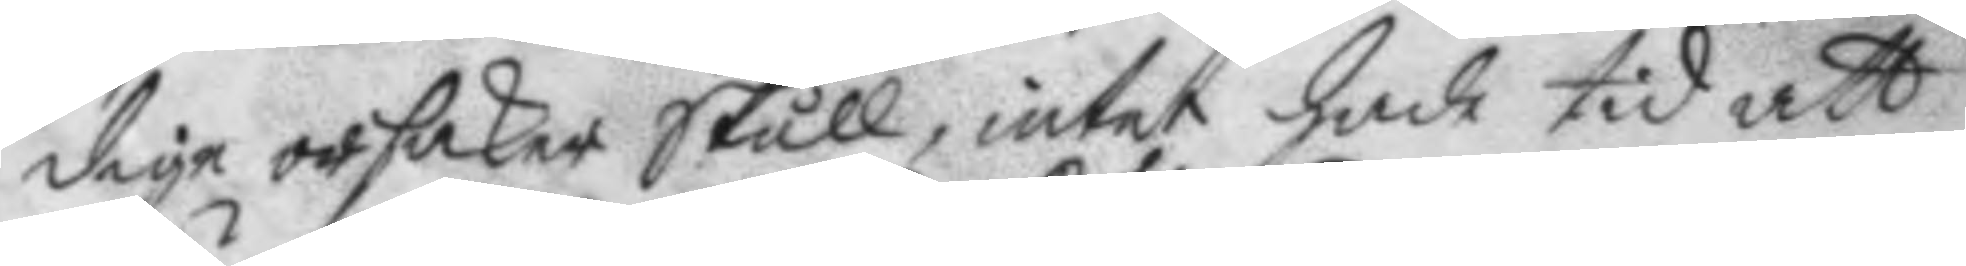dige orsaker skull, intet hade tid att
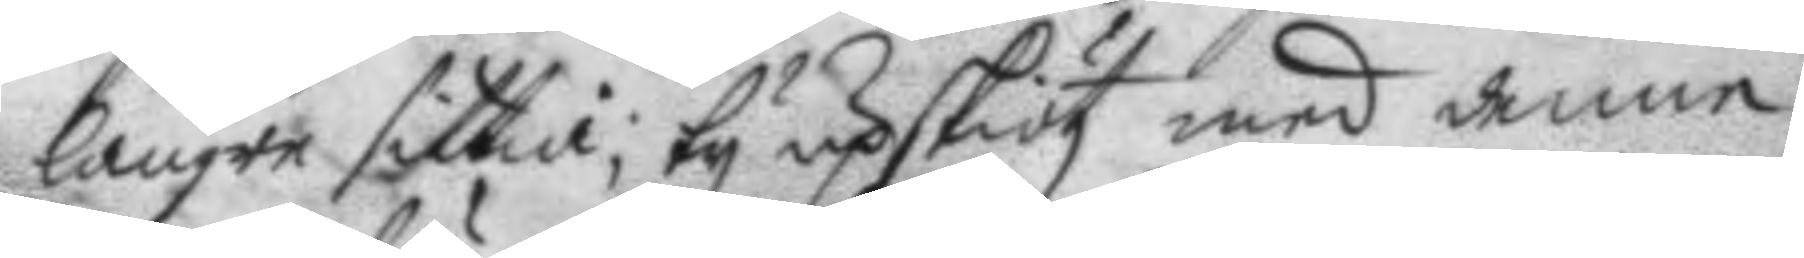längre sittia; ty upskötz med denne
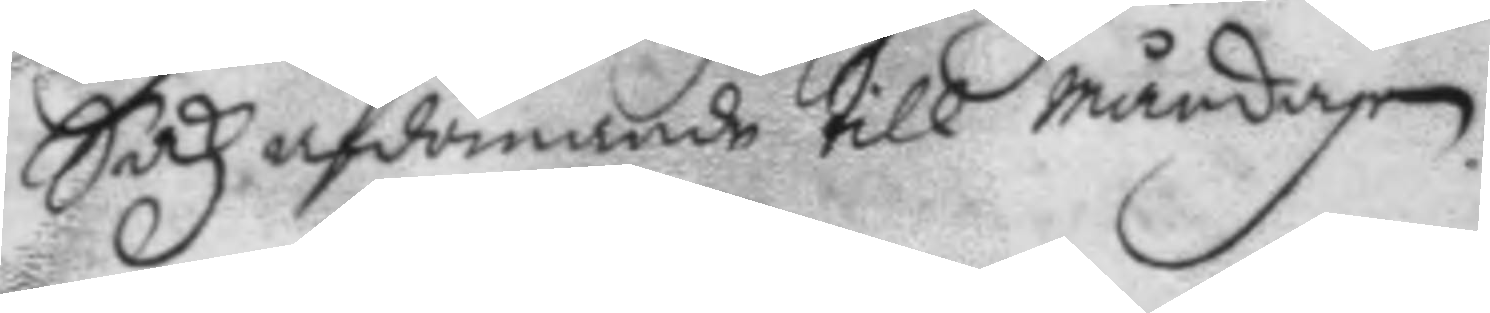Sakz afdömande till måndagen.
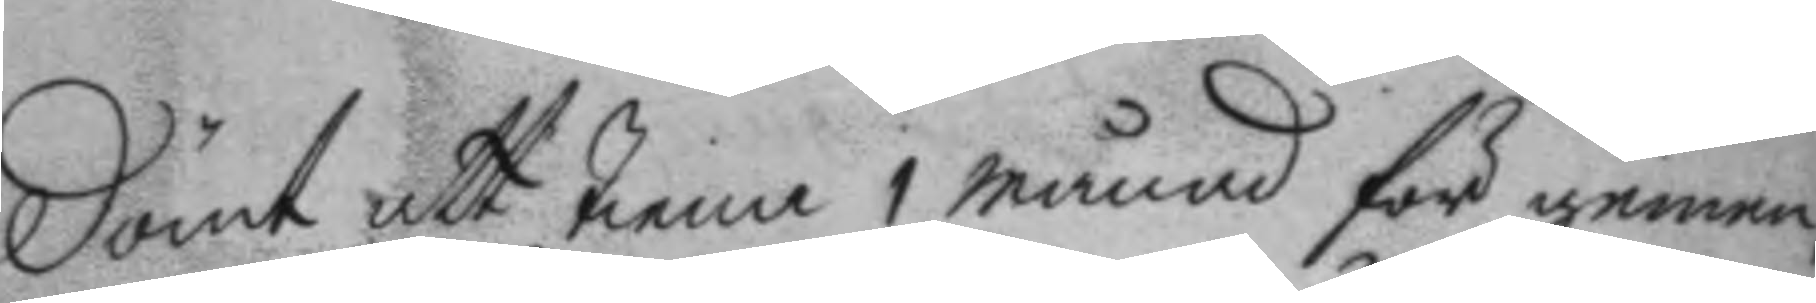dömt att tiena 1 månad för gemen,
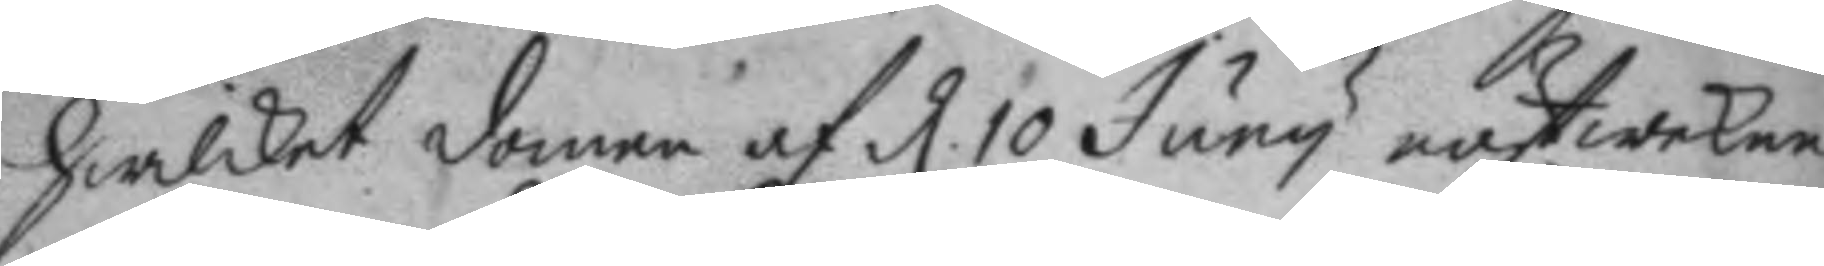hwilket domen af d 10 Juny nästwekne
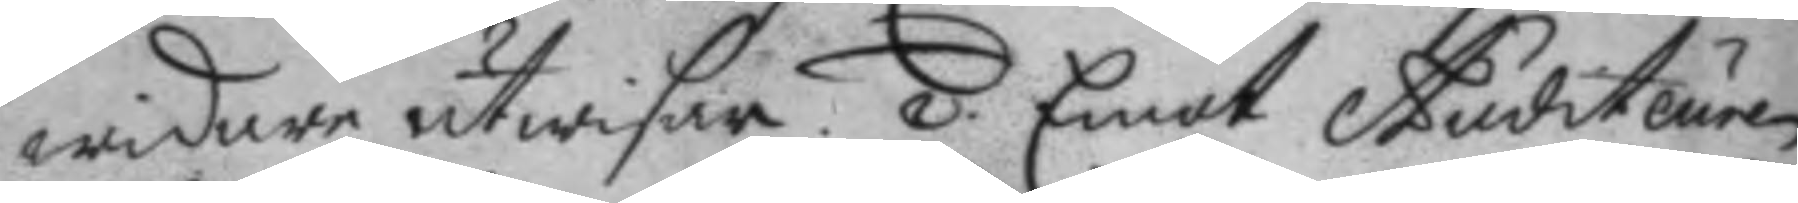widare utwisar. 2. Emot Auditeuren
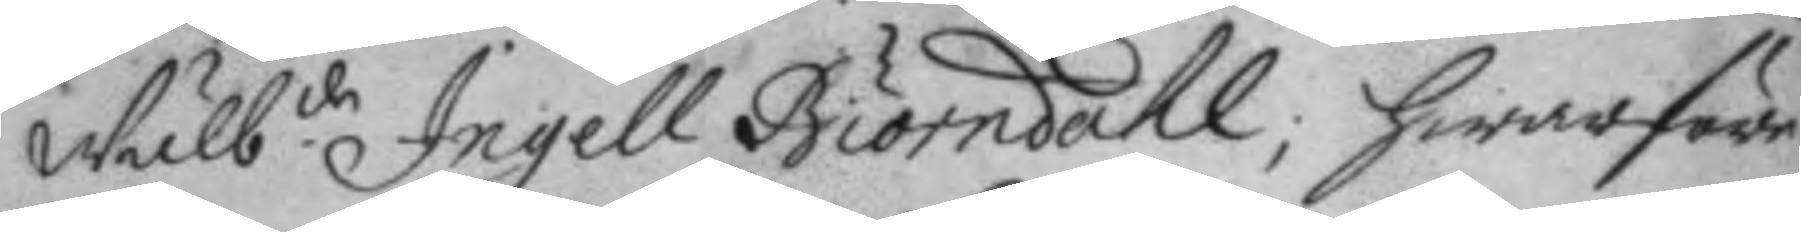Wälb.de Ingell Biörndahl; hwarföre
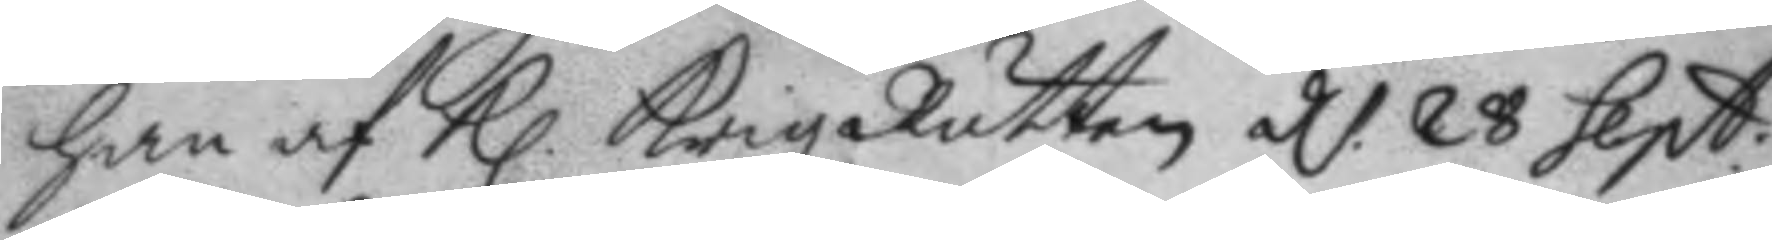han af Kl. KrigzRätten d. 28 Sept:
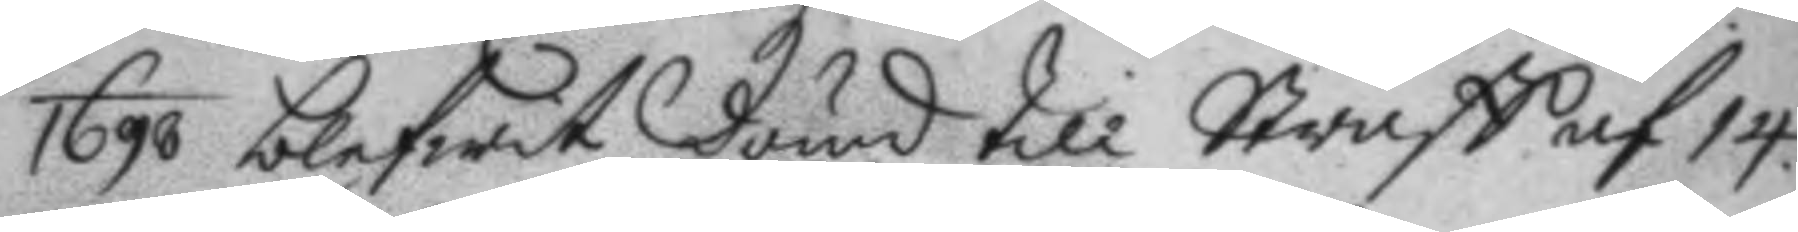1698 blefwit dömd till Straff af 14.
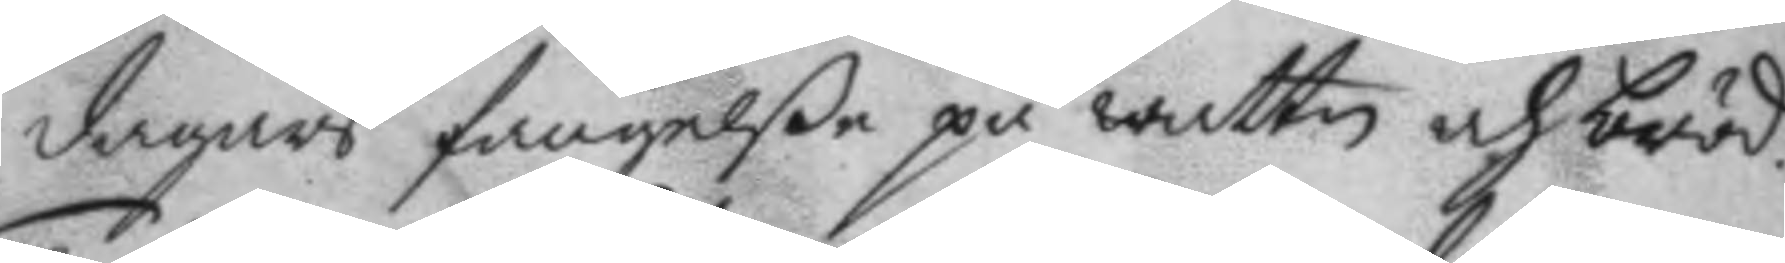dagars fängele på wattn och bröd.
